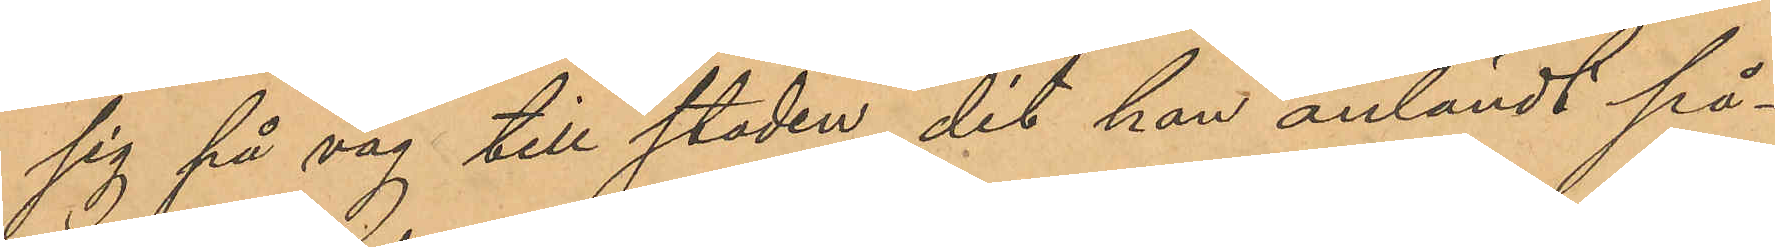sig på väg till staden, dit han anländt på¬
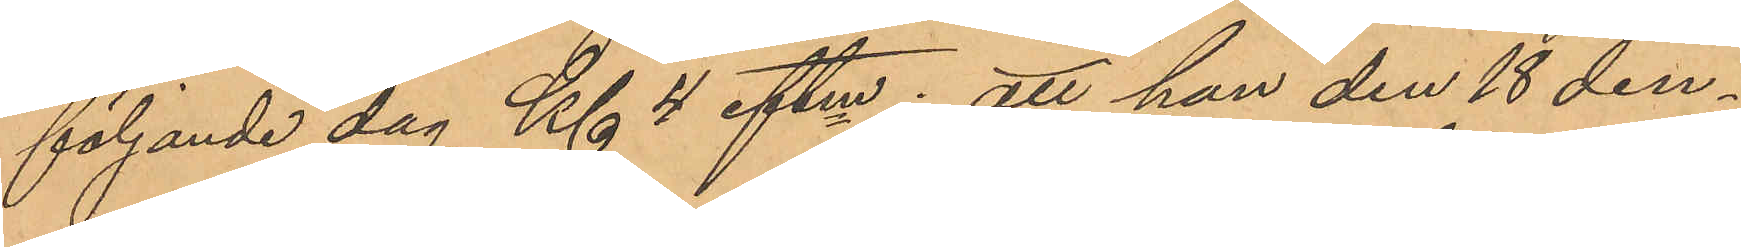följande dag Kl 4 eftm; att han den 18 den¬
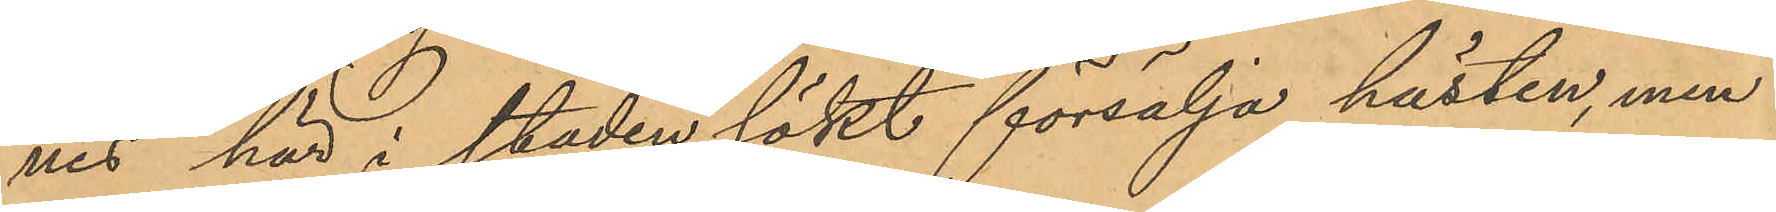nes här i staden sökt försälja hästen, men
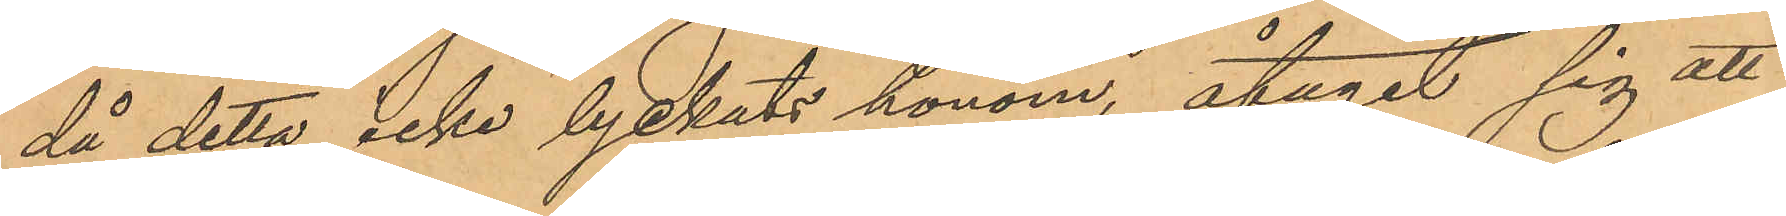då detta icke lyckats honom, åtagit sig att
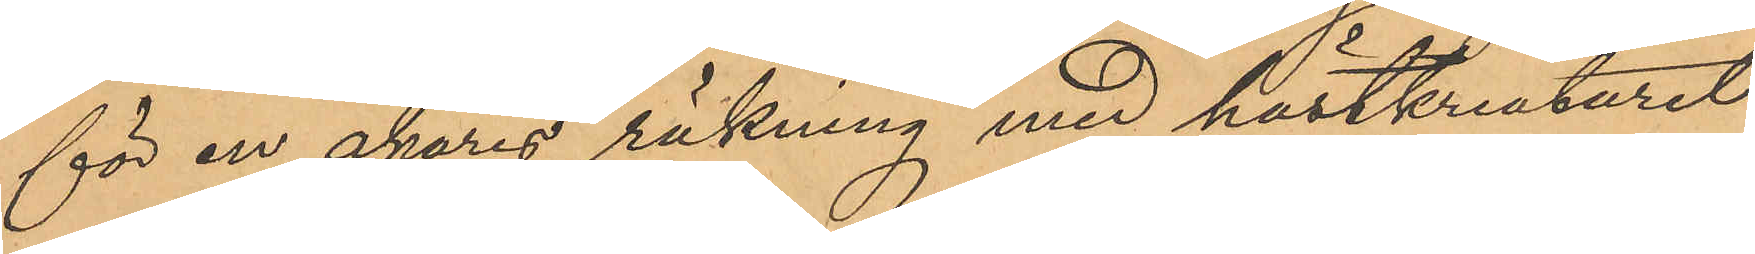för en åkares räkning med hästkreaturet
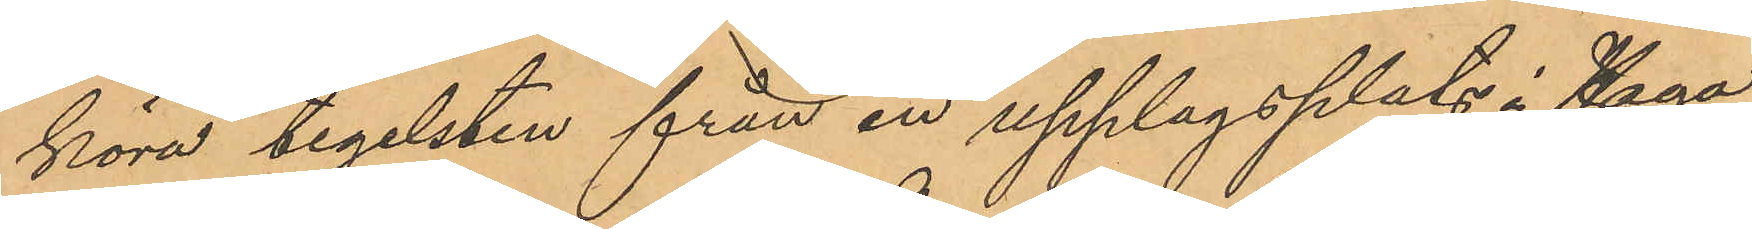köra tegelsten från en upplagsplats i Haga
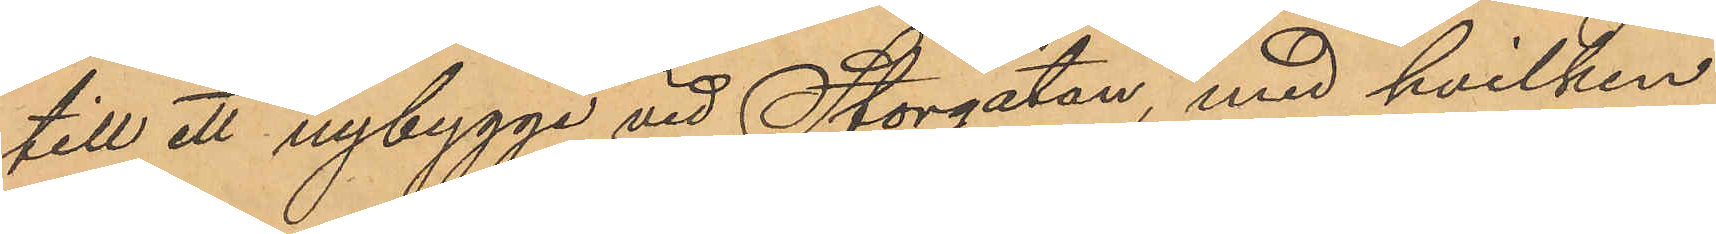till ett nybygge vid Storgatan, med hvilken
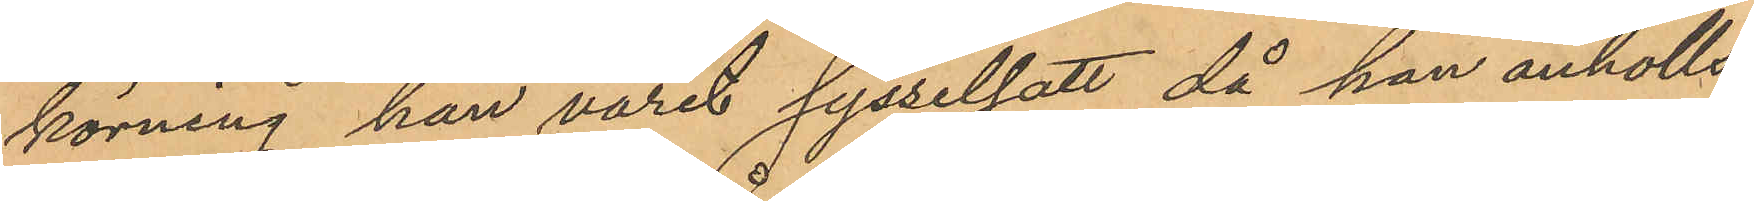körning han varit sysselsatt, då han anhölls;
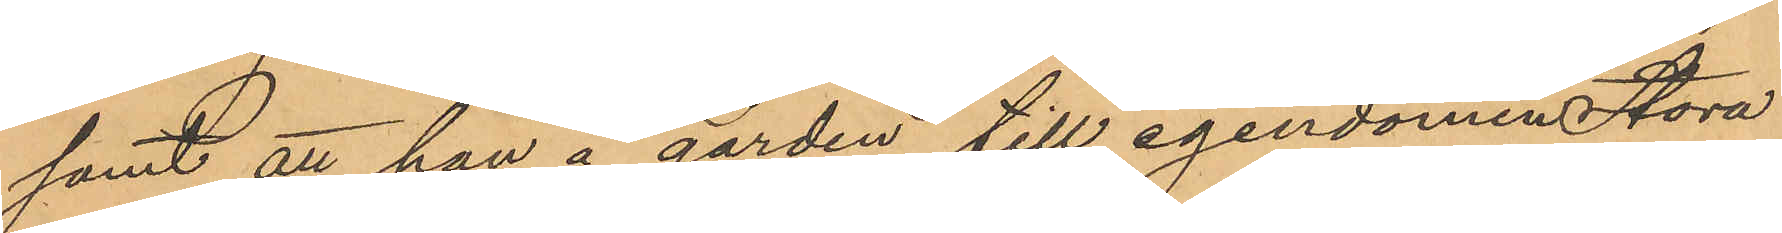samt att han å gården till egendomen Stora
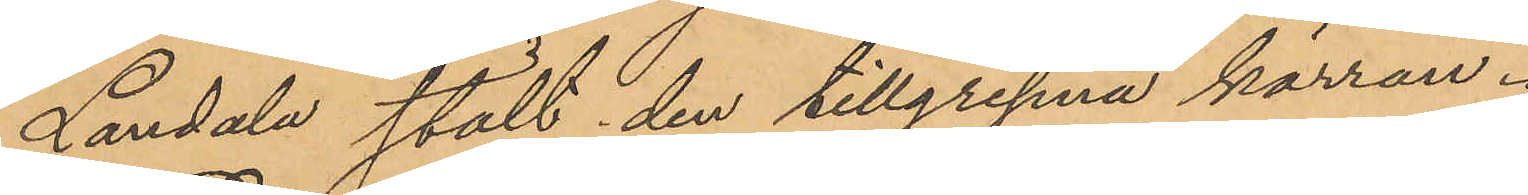Landala stält den tillgripna kärran.
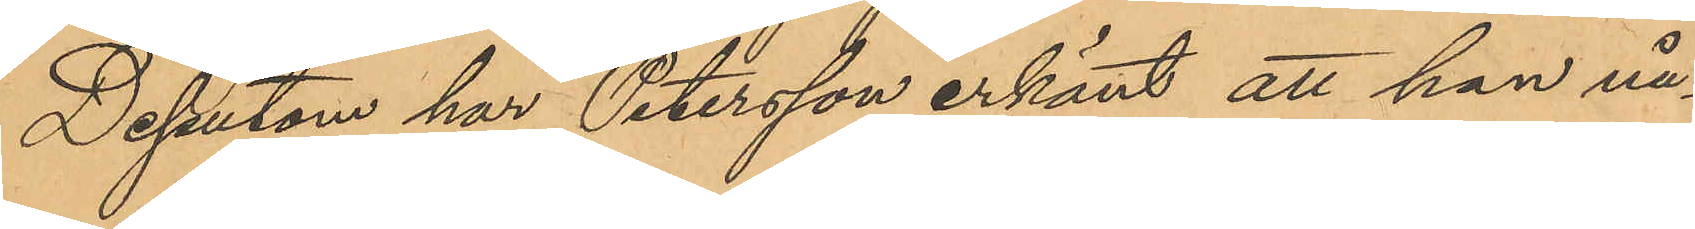Dessutom har Petersson erkänt, att han nå¬
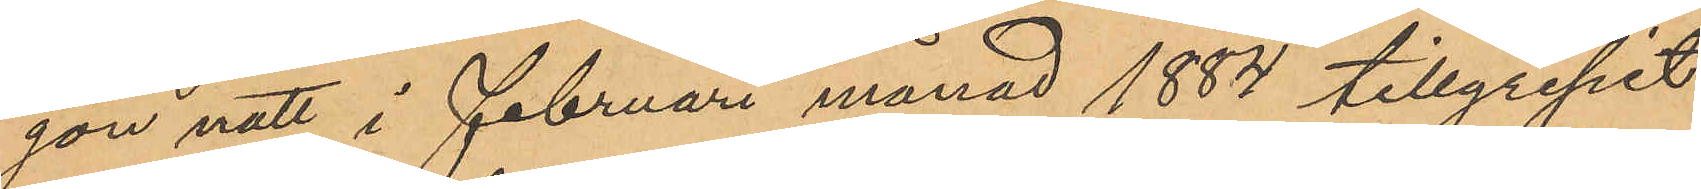gon natt i Februari månad 1884 tillgripit
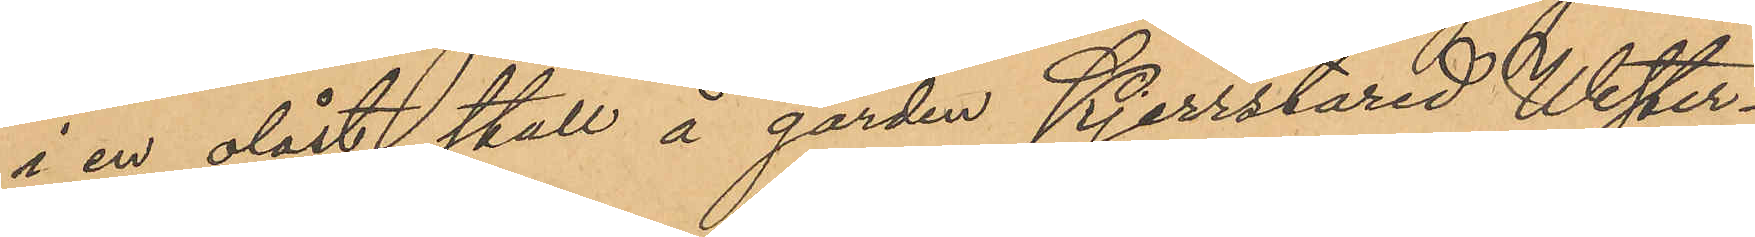i en olåst stall å gården Kjerrstared Wester¬
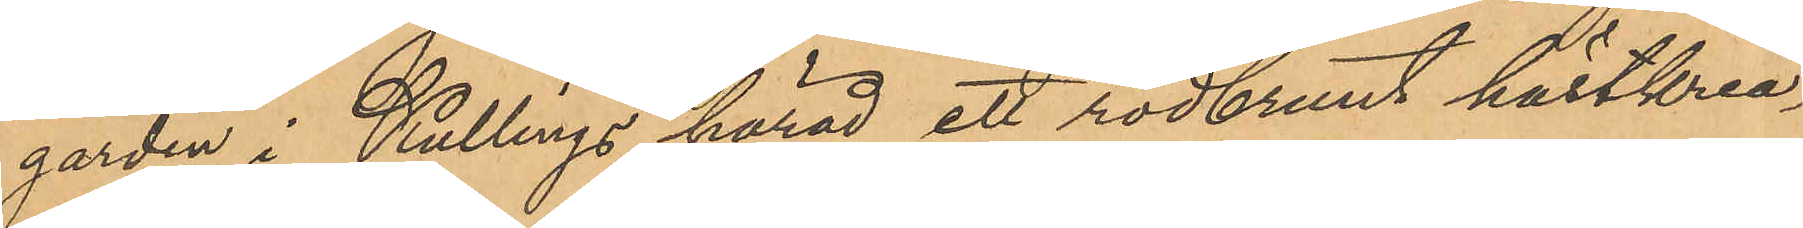gården i Kullings härad ett rödbrunt hästkrea¬
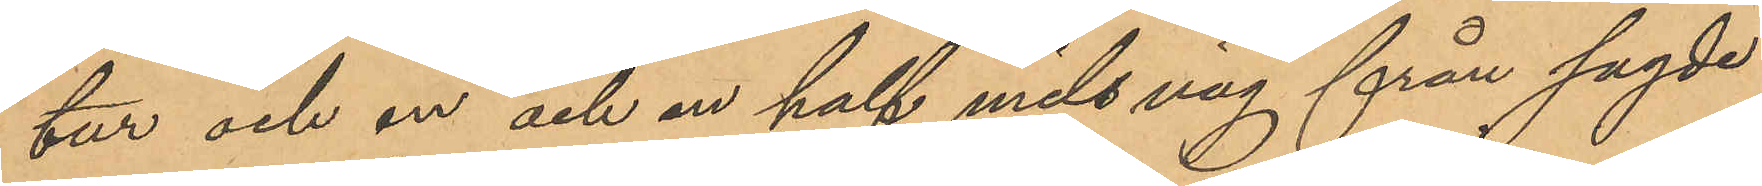tur och en och en half mils väg från sagde
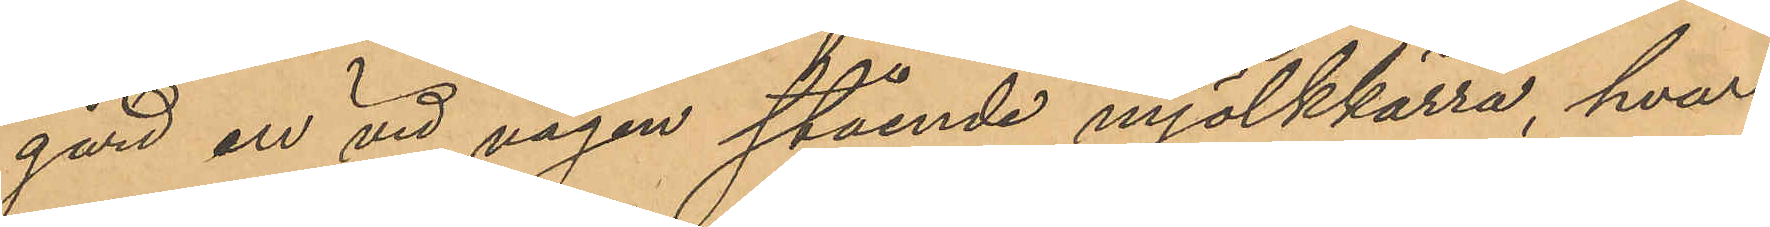gård en vid vägen stående mjölkkärra, hvar¬
